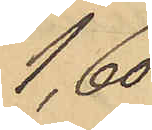1,60
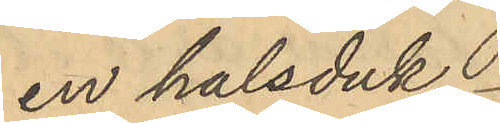en halsduk
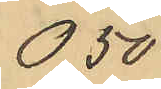0,50
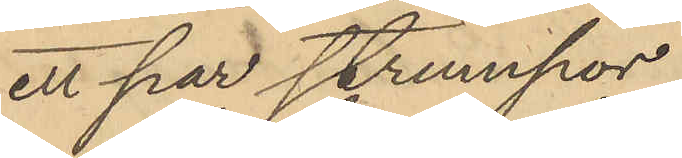ett par strumpor
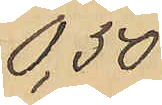0,50
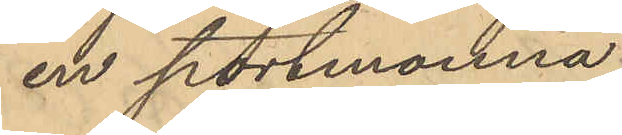en portmonnä
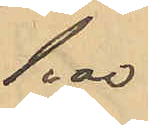1,00
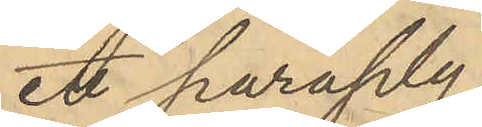ett paraply
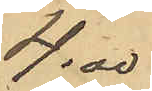4,00
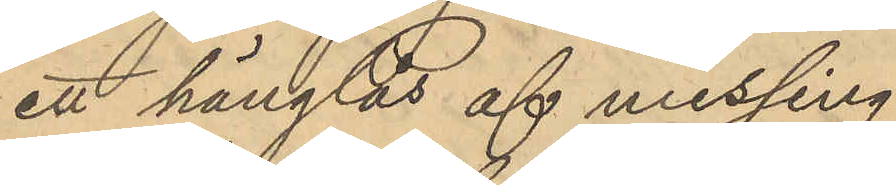ett hänglås af messing
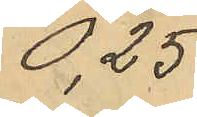0,25
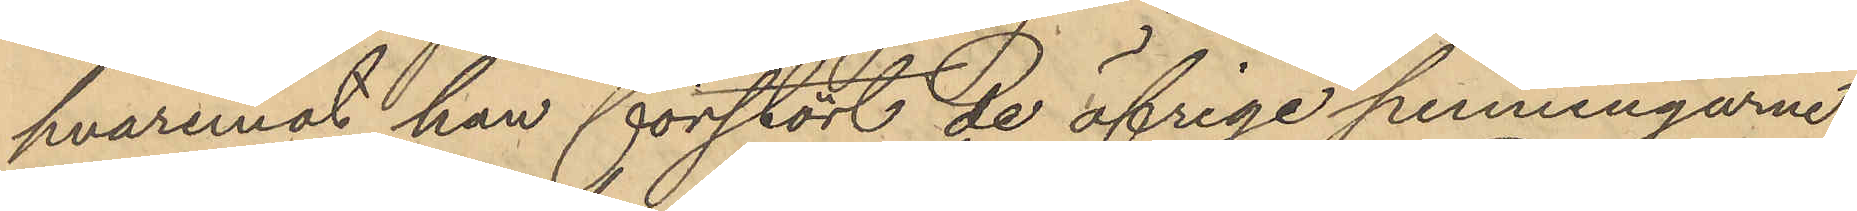hvaremot han förstört de öfriga penningarne
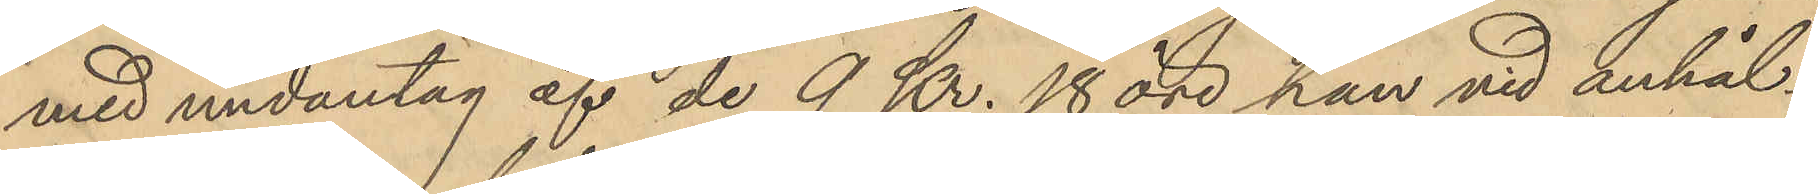med undantag af de 9 Kr. 18 öre han vid anhål¬
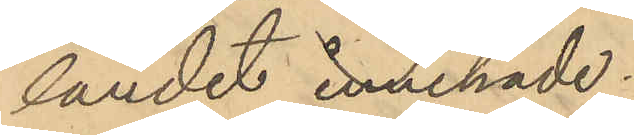landet innehade.
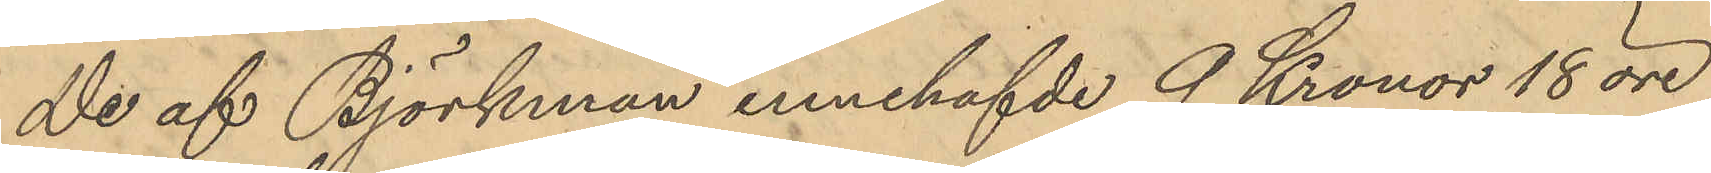De af Björkman innehafvde 9 Kronor 18 öre
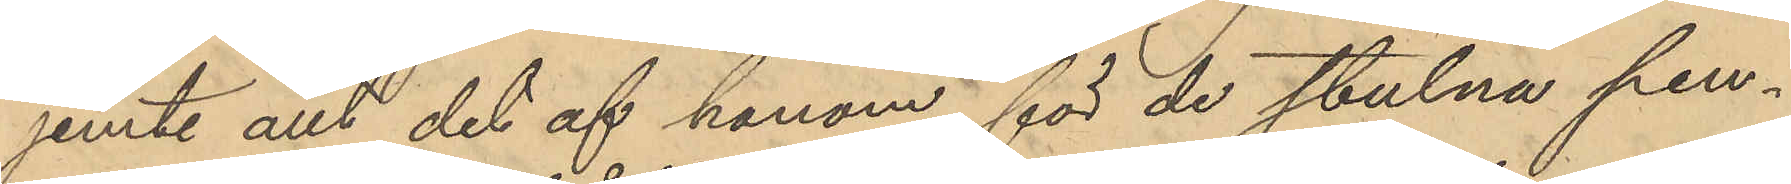jemte allt det af honom för de stulna pen¬
